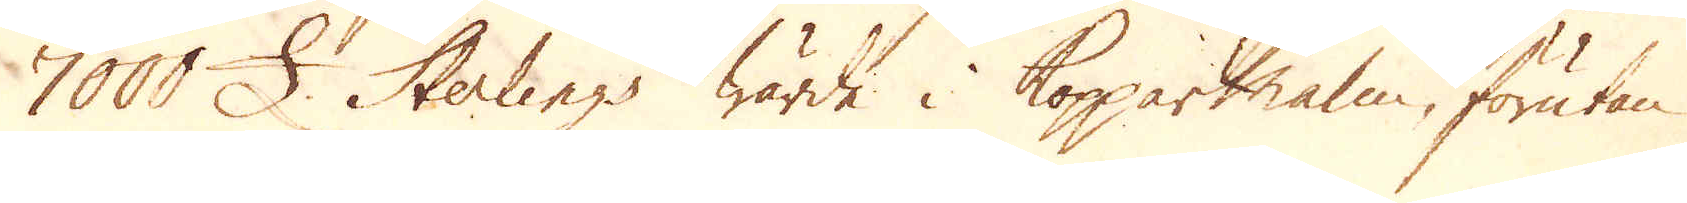7000 £. Sterlings wärde i Kopparmalm, förutan
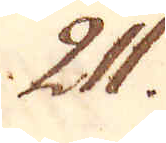211.
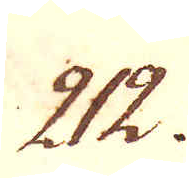212.
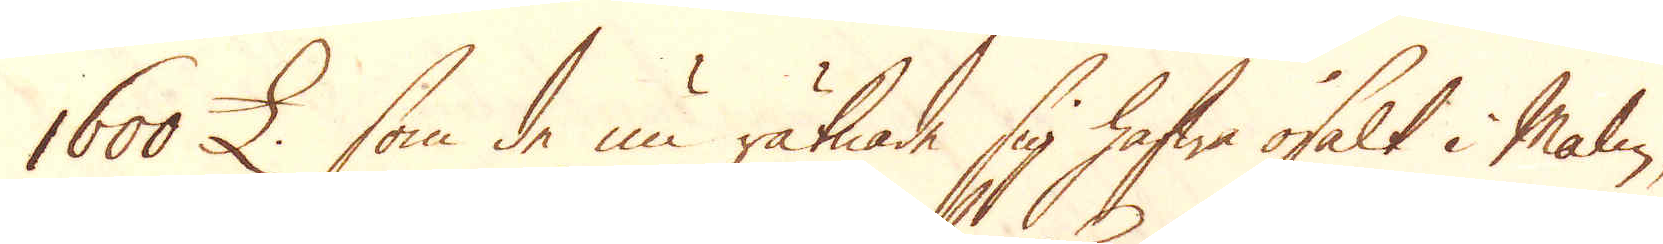1600 £ som de nu räknade sig hafwa osålt i Malm,
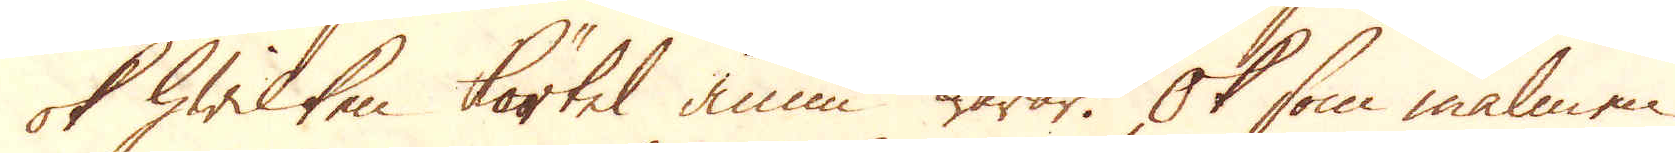ok hwilken körtel ännu warar. Ok som malmen
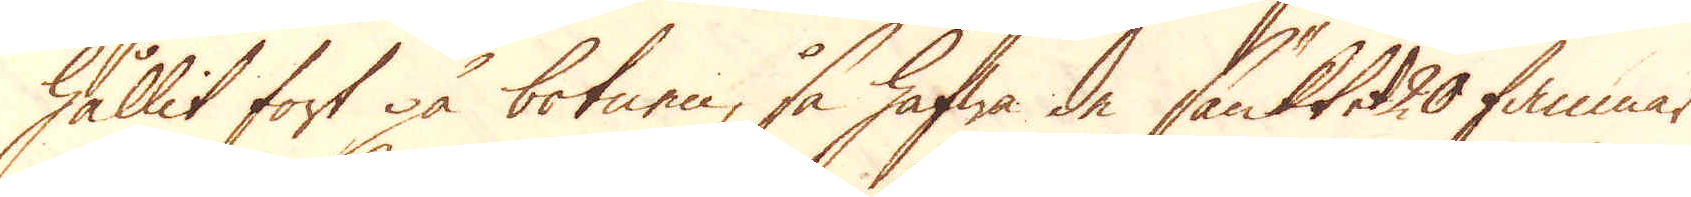hållit fort på botnen, så hafwa de sänkt et 20 famnar
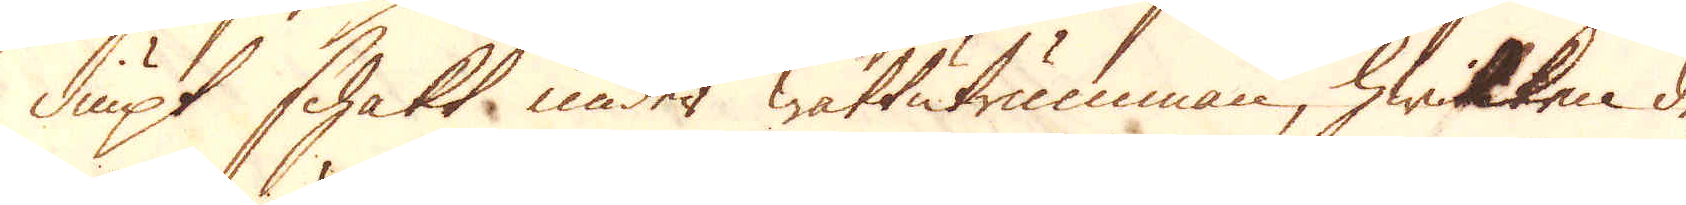diupt schakt under wattutrumman, hwilken des-
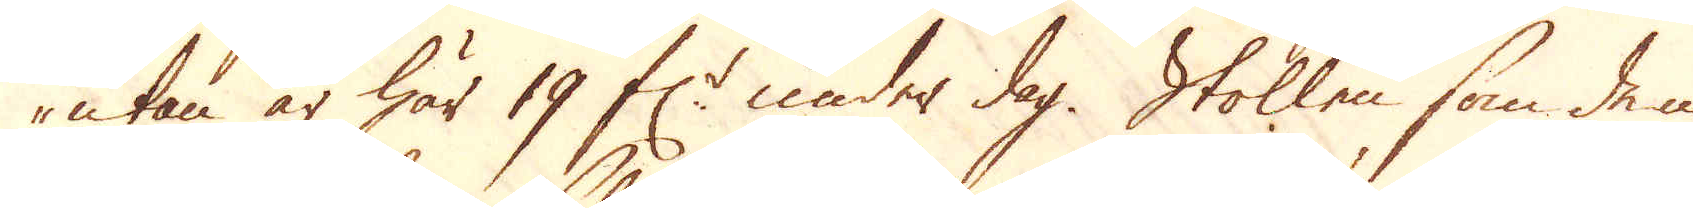utan är här 19 f:r under dag. Stollen som de in-
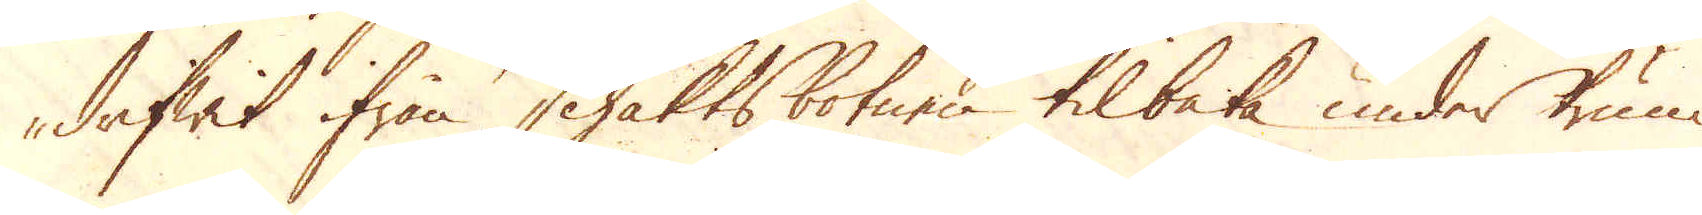drifwit ifrån Schakts botnen tilbaka under trum-
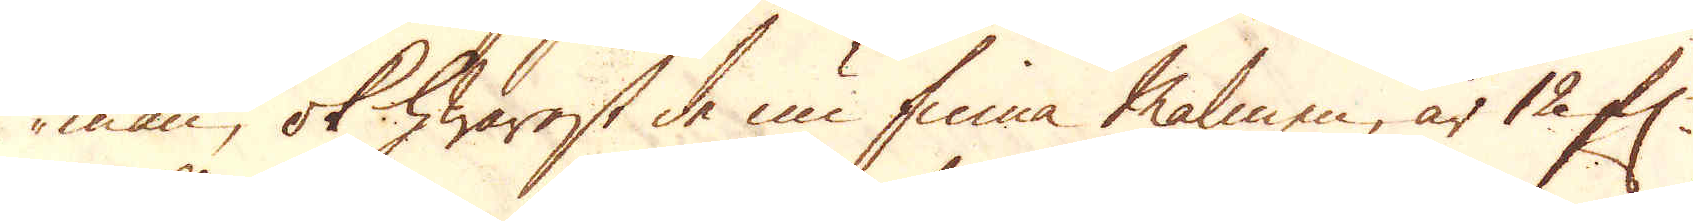man, ok hwarest de nu finna malmen, är 12 f:r
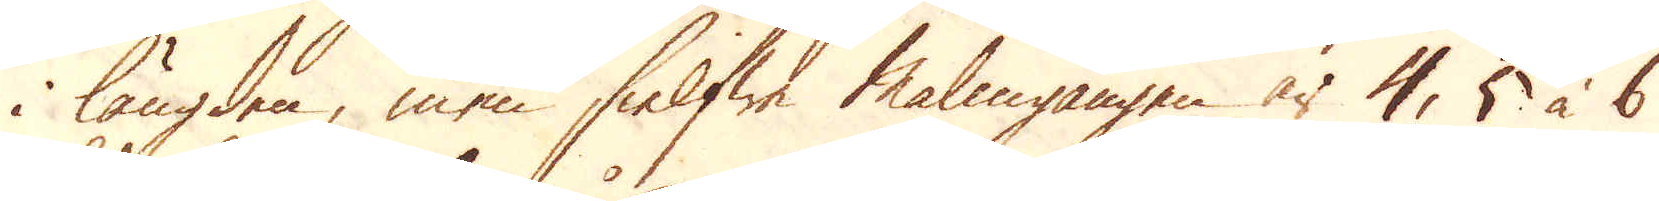i längden, men sielfwe Malmgången är 4, 5 à 6
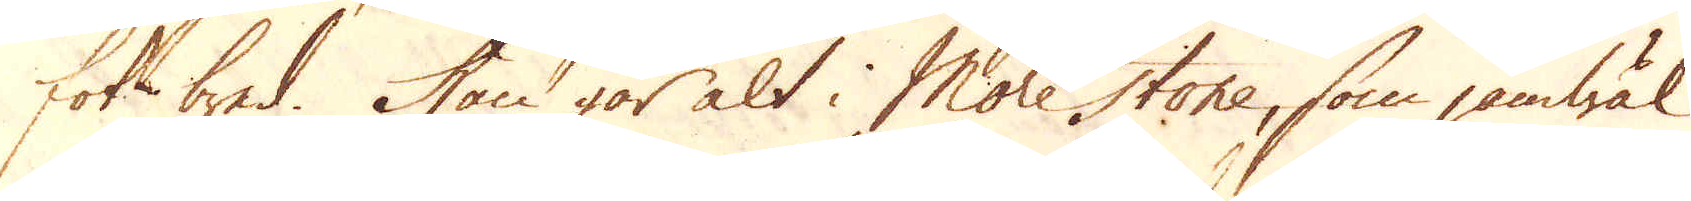fot bred. Han går alt i Morestone, som jämwäl
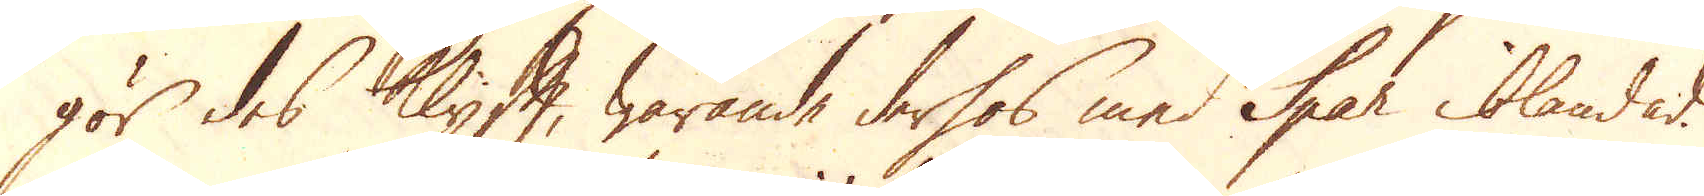gör des Klyft, warande derhos med Spar iblandad.
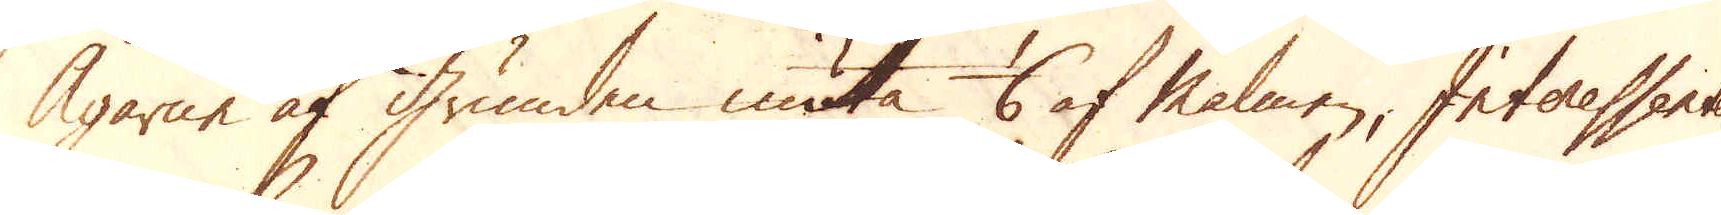Ägarne af grunden niuta 1/6 af Malmen, Interessenter-
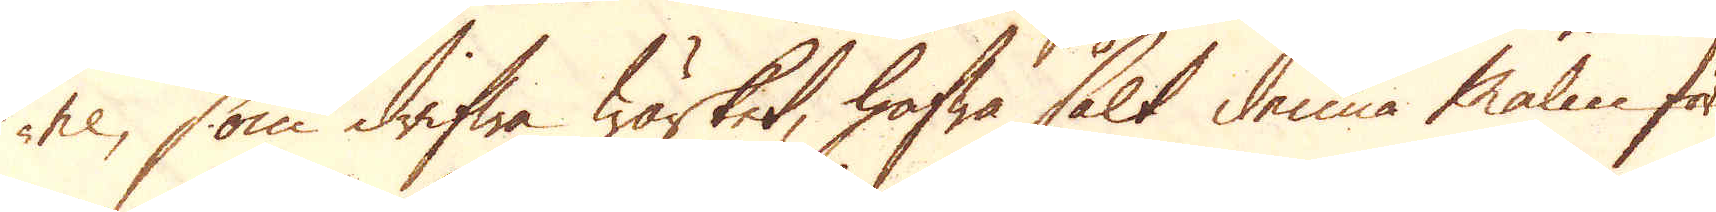ne, som drifwa Wärket, hafwa sålt denna malm för
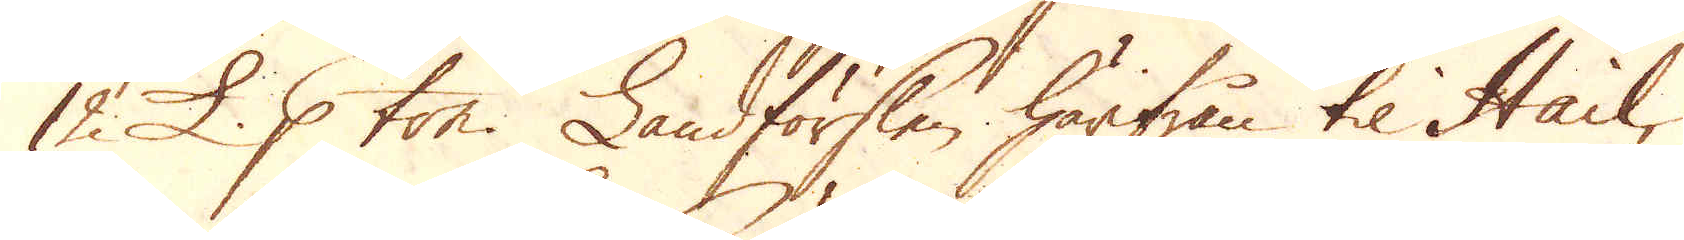12 £. p ton. Landförslen härifrån til Hail,
